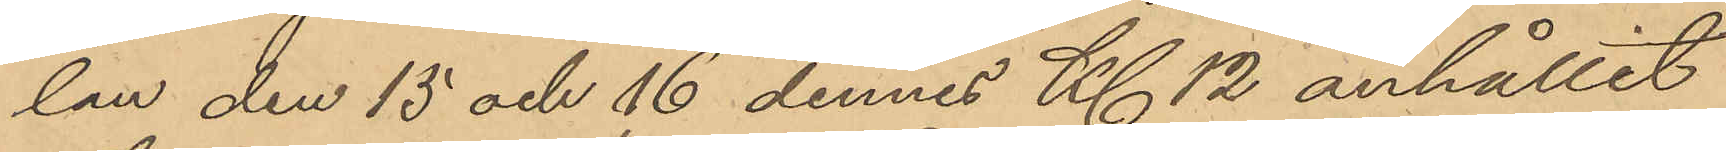lan den 15 och 16 dennes Kl 12 anhållit
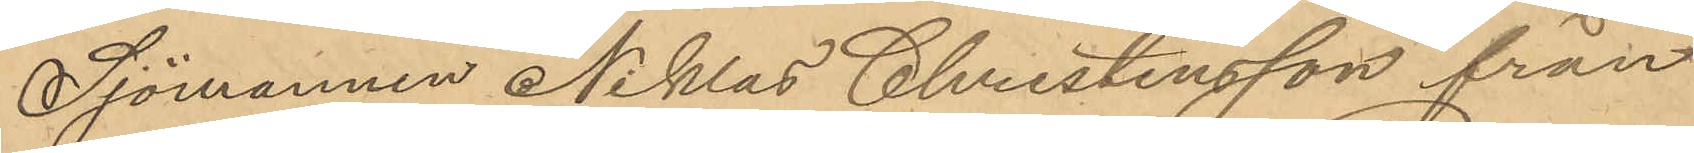Sjömannen Niklas Christensson från
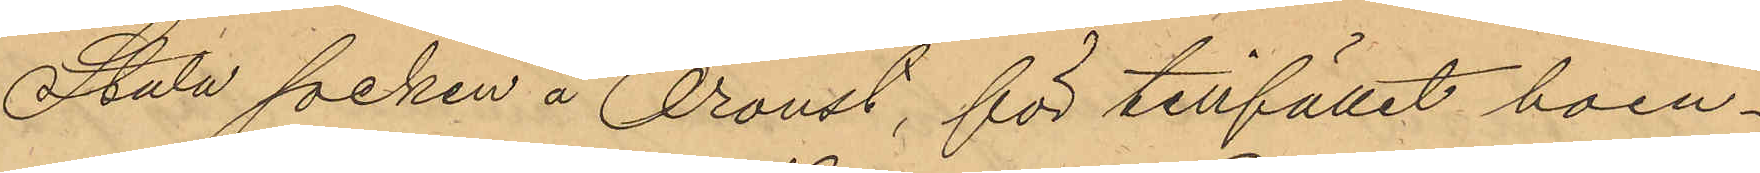Stala socken å Oroust, för tillfället boen¬
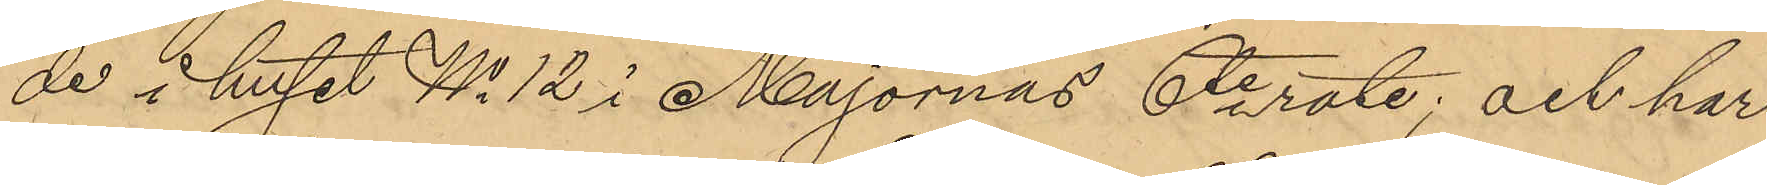de i huset No 12 i Majornas 6te rote; och har
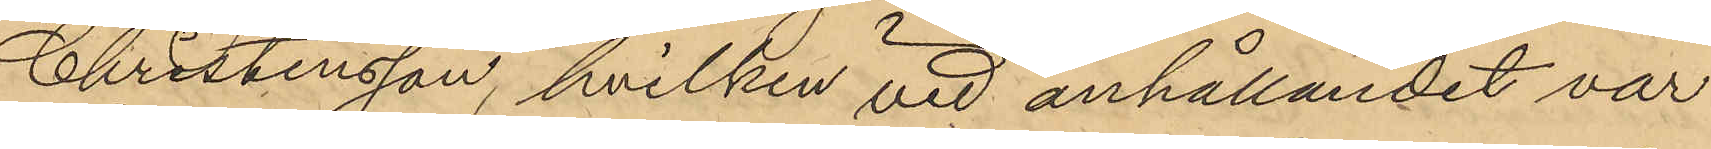Christensson, hvilken vid anhållandet var
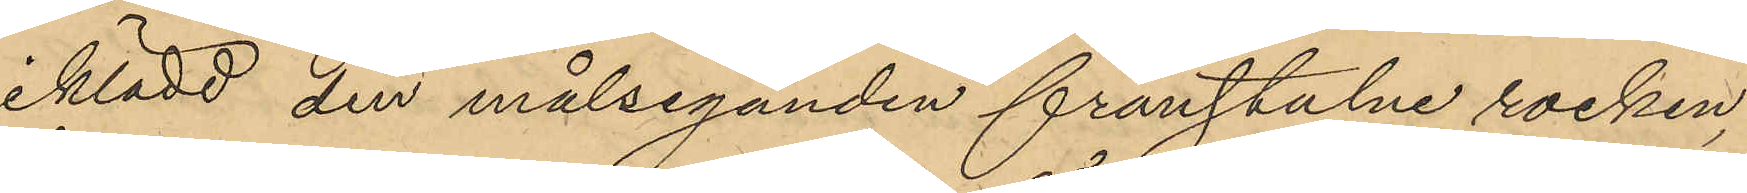iklädd den målseganden frånstulne rocken,
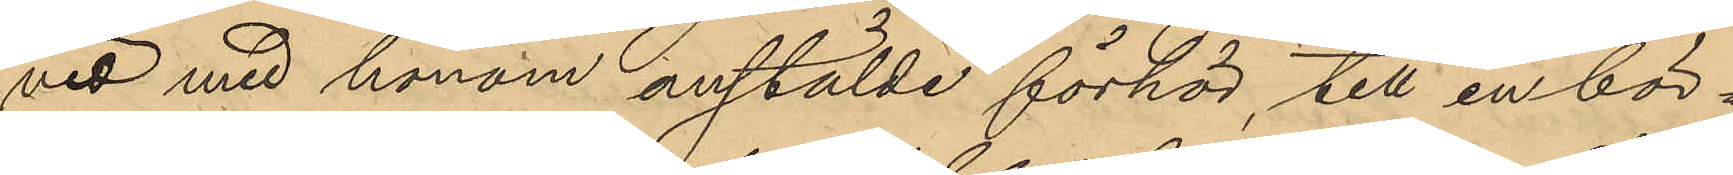vid med honom anstälde förhör, till en bör¬
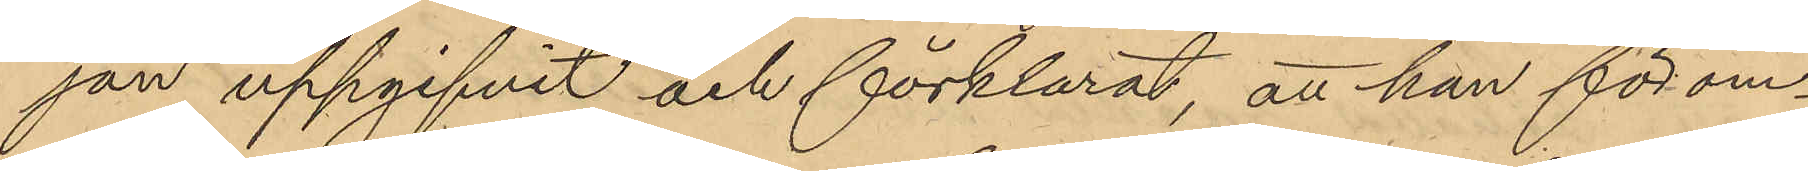jan uppgifvit och förklarat, att han för om¬
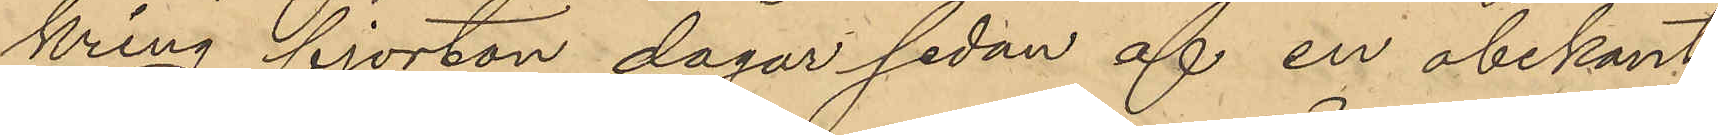kring fjorton dagar sedan af en obekant
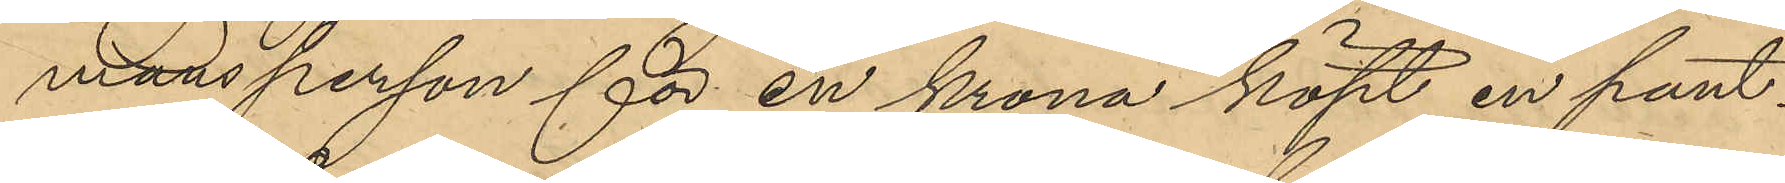mansperson för en krona köpt en pant¬
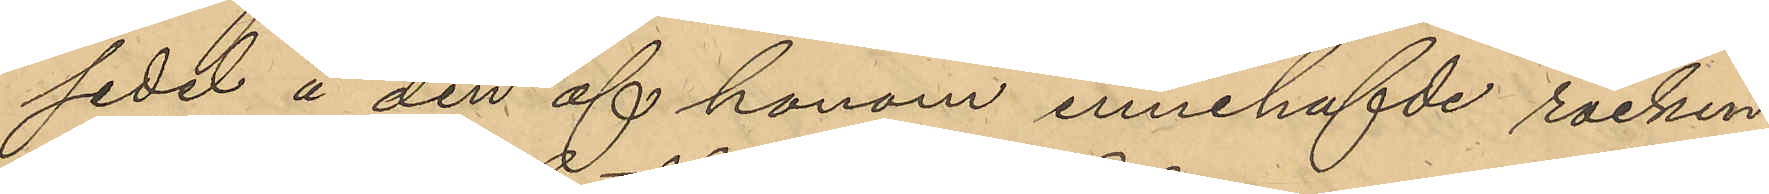sedel å den af honom innehafde rocken
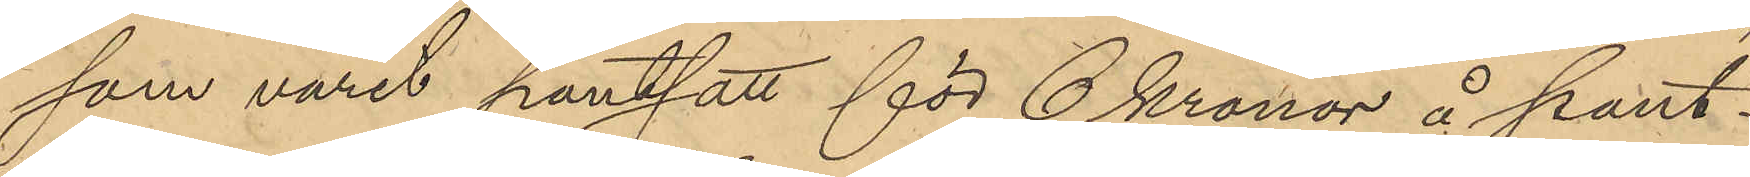som varit pantsatt för 6 kronor å pant¬
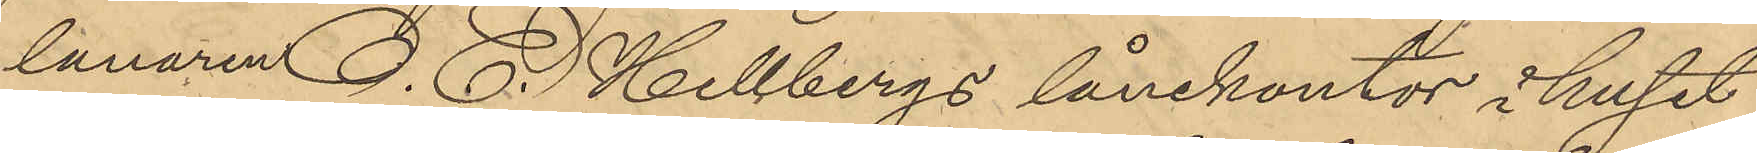lånaren O. E. Hellbergs lånekontor i huset
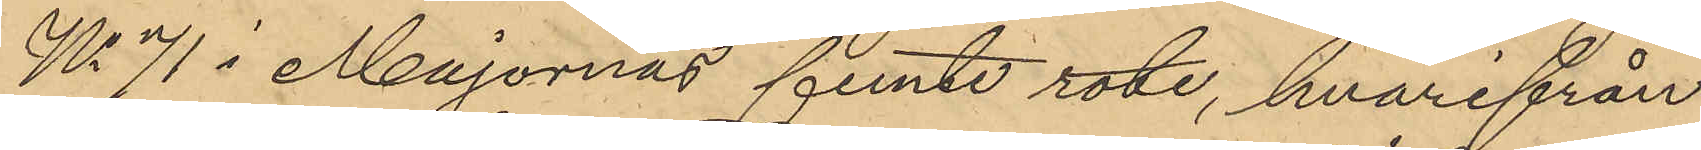No 71 i Majornas femte rote, hvarifrån
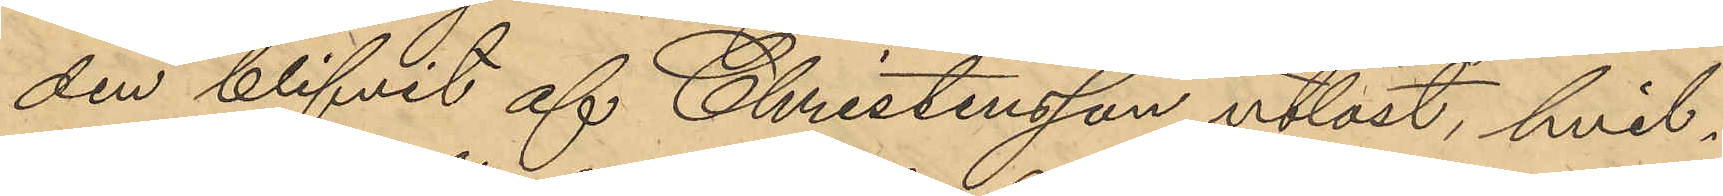den blifvit af Christensson utlöst, hvil¬
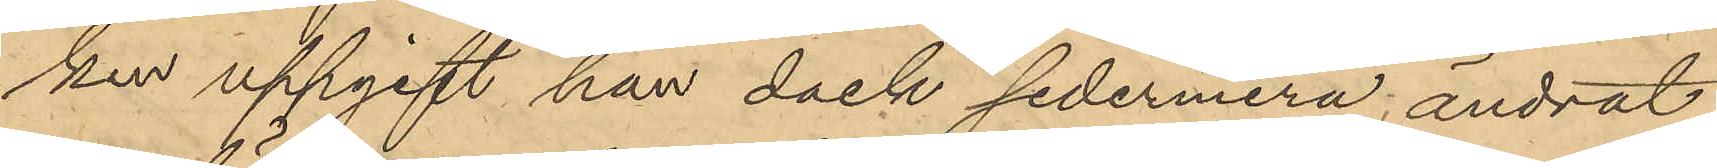ken uppgift han dock sedermera, ändrat
